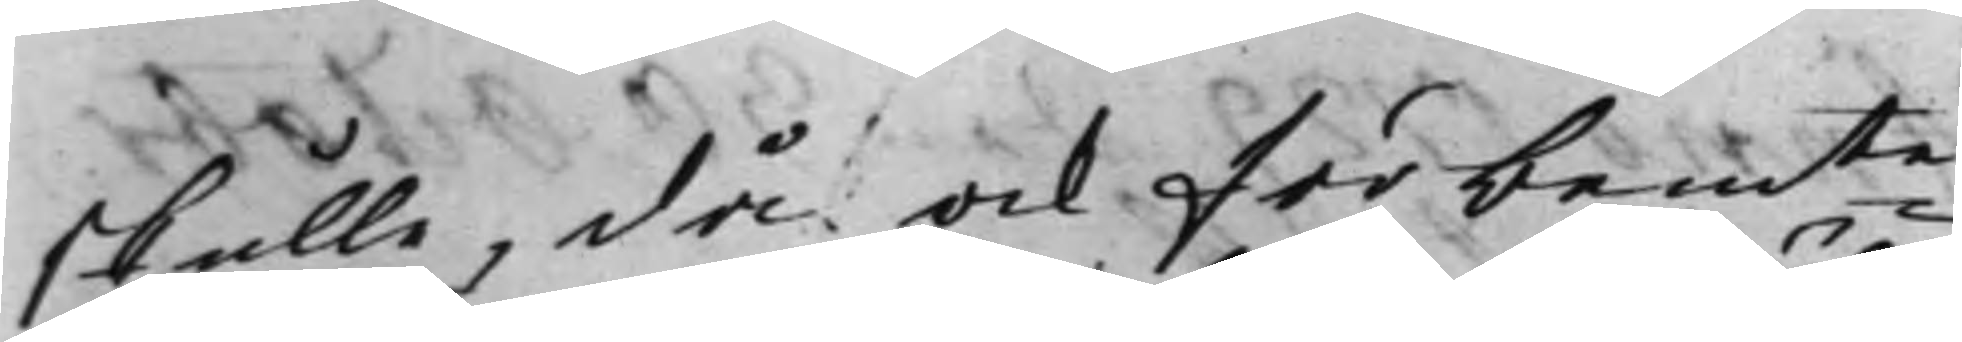skulle, då ock förbemte
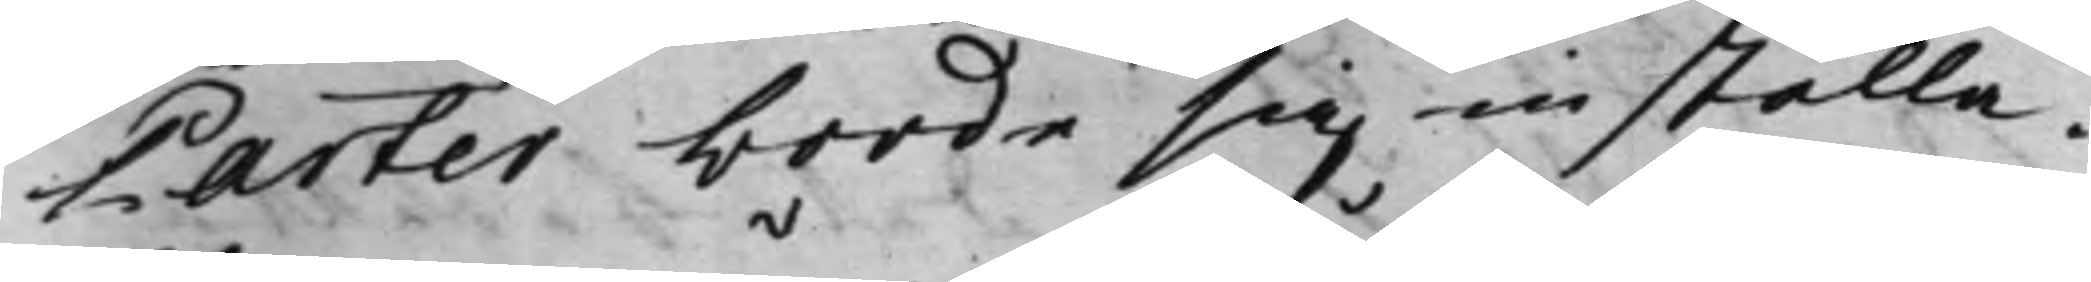Parter borde sig inställa.
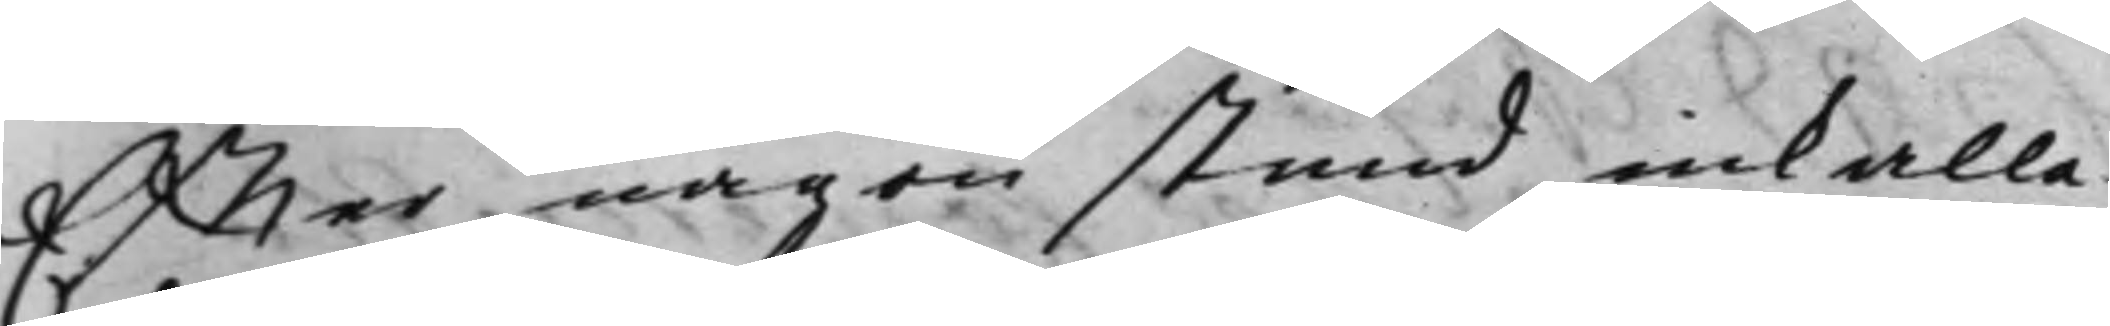Effter någon stund inkalla¬
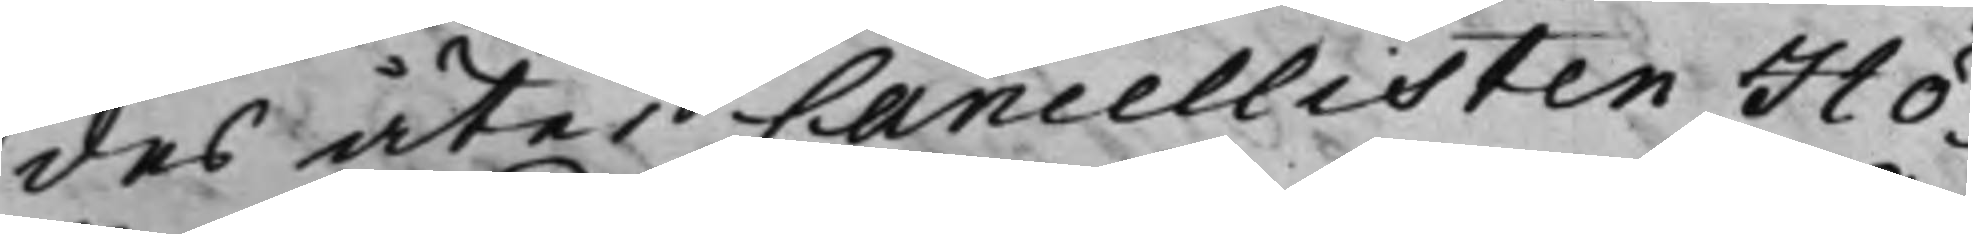des åter Cancellisten Hö¬
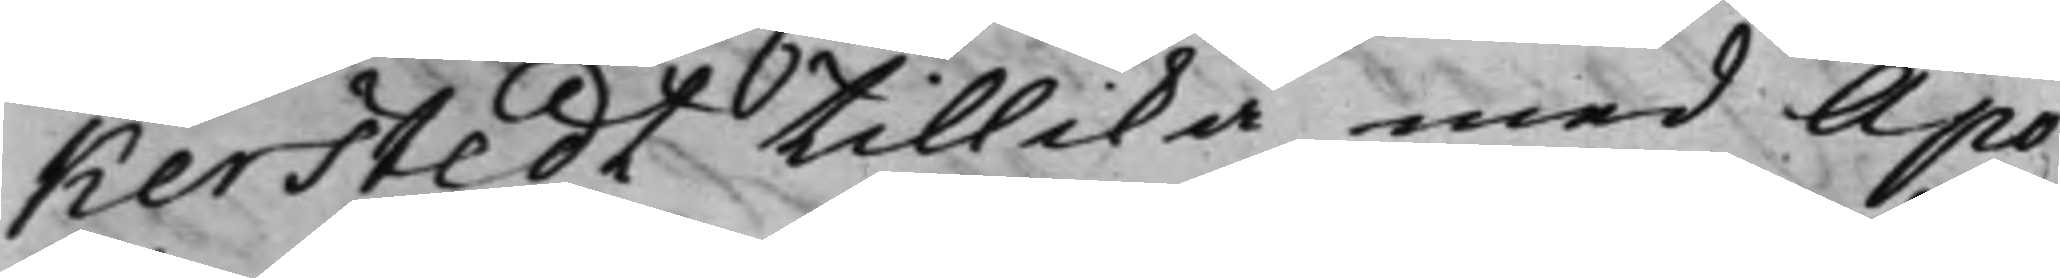kerstedt tillika med Apo¬
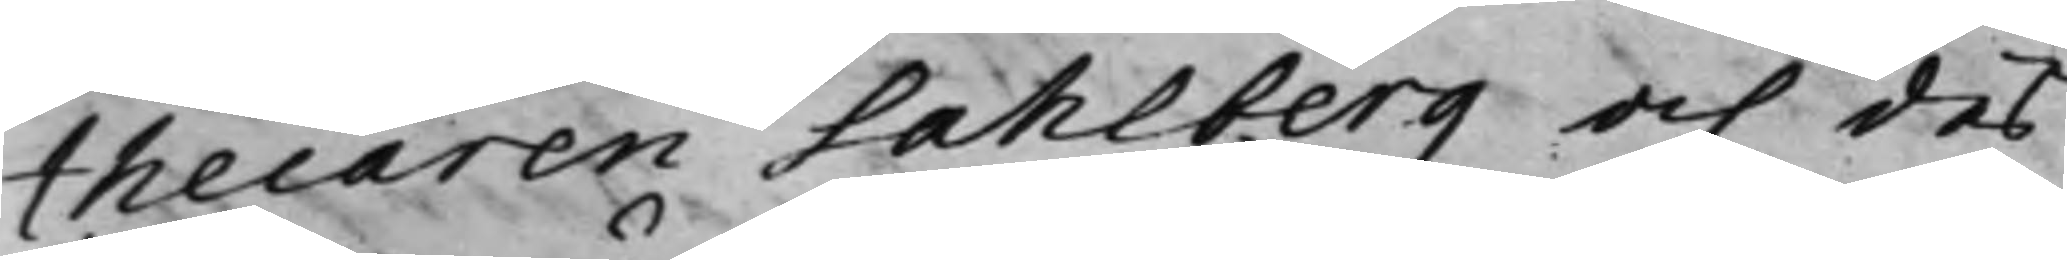thecaren Sahlberg och des
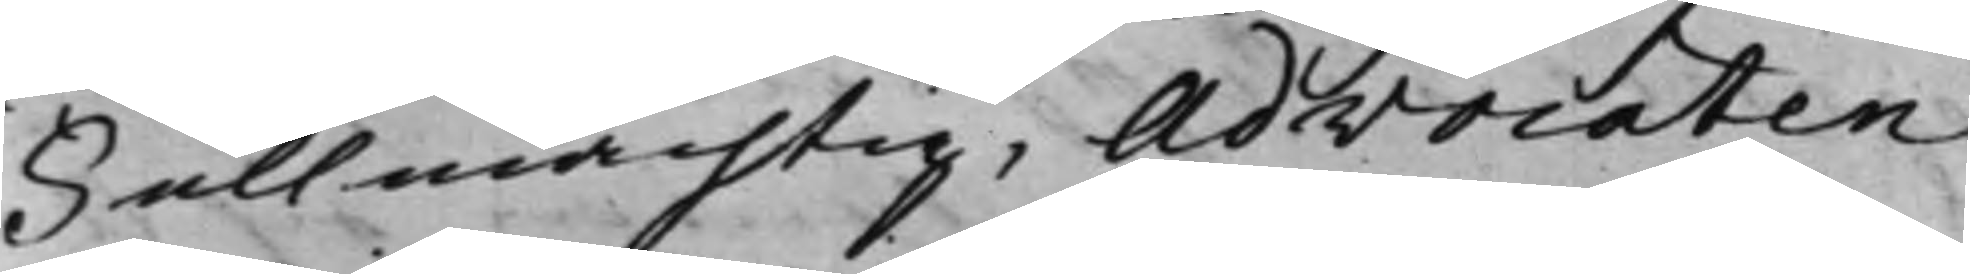Fullmächtig, Advocaten
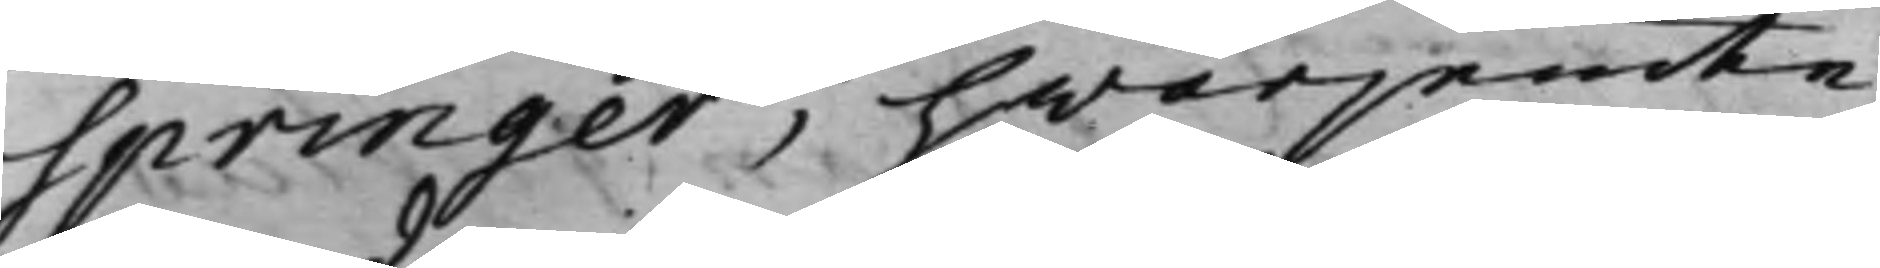Springer, hwarjemte
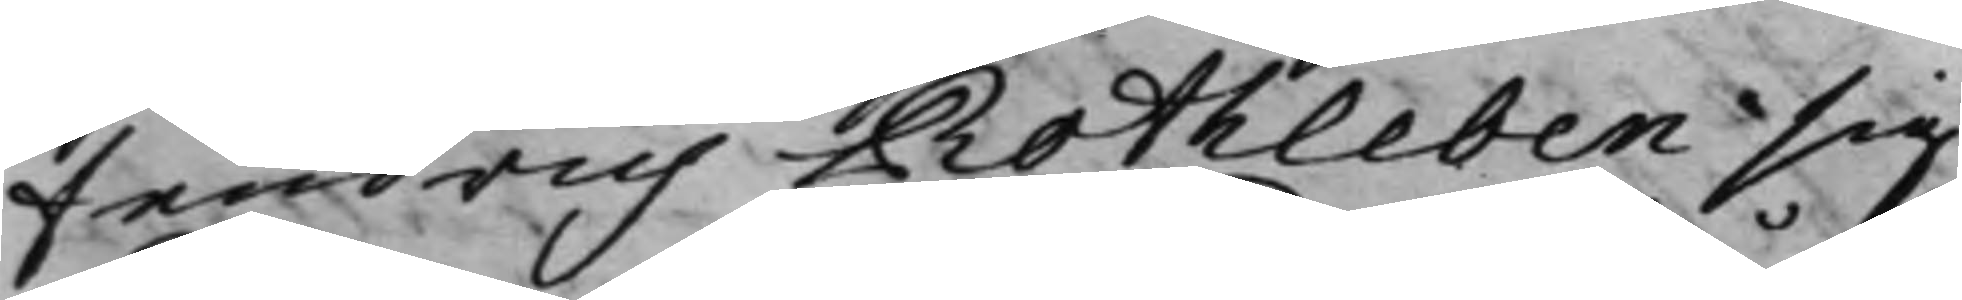fendrich Rothleben sig
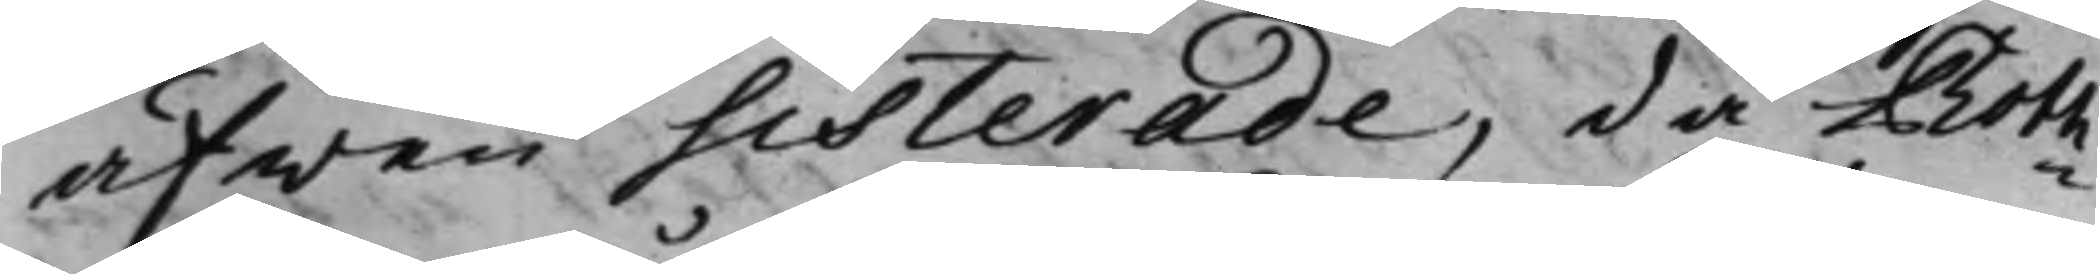äfwen sisterade, då Roth¬
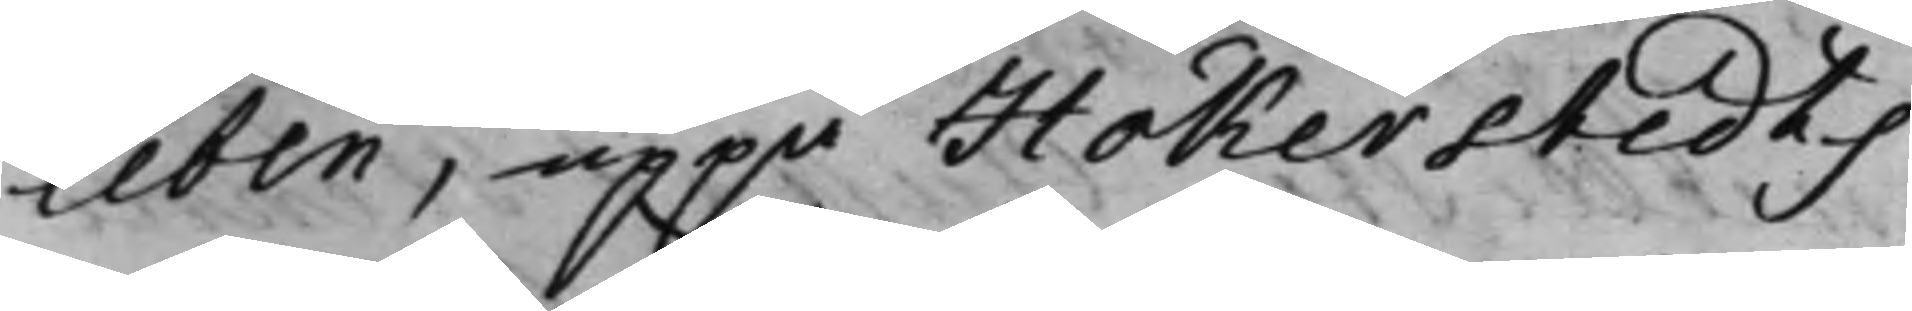leben, uppå Hökerstedts
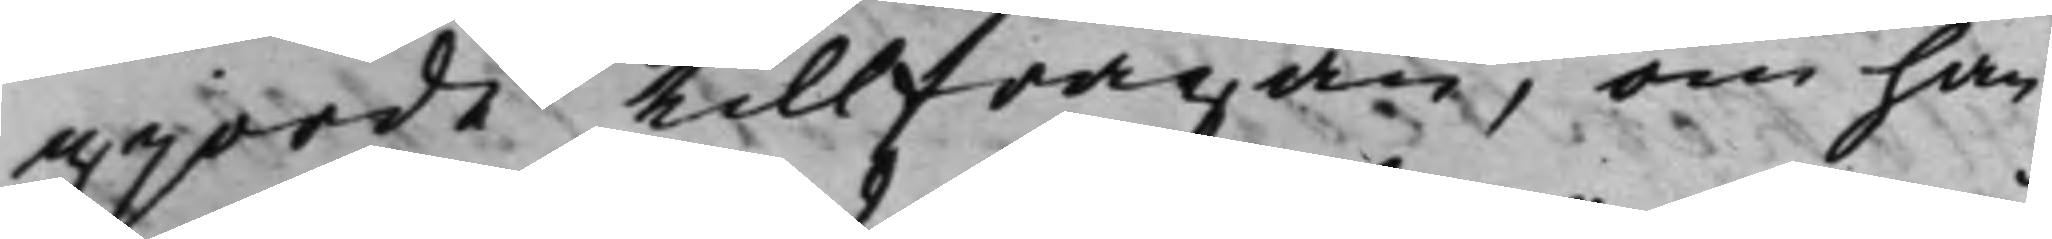gjorde tillfrågan, om han
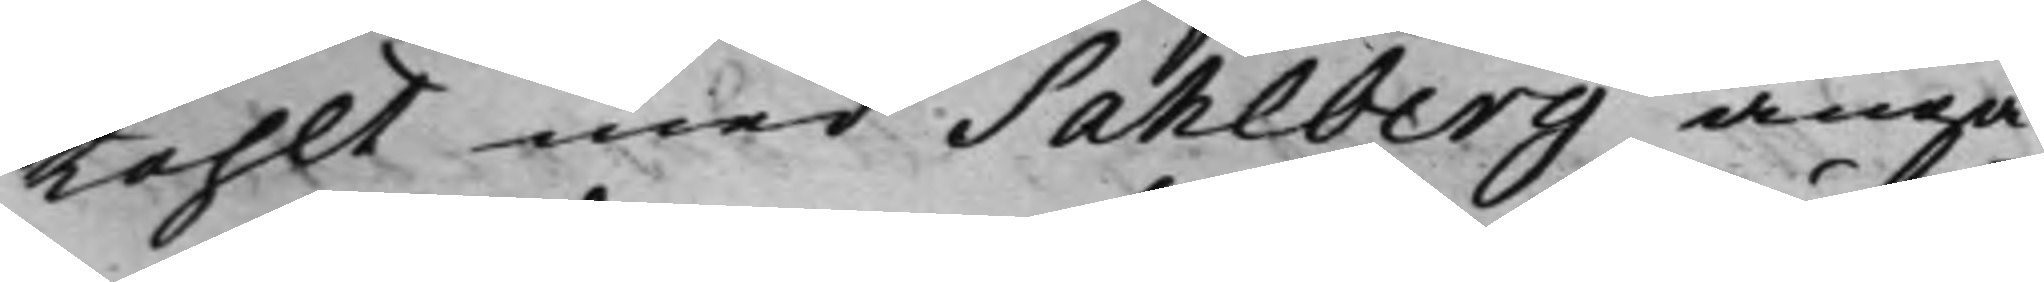tahlt med Sahlberg angå¬
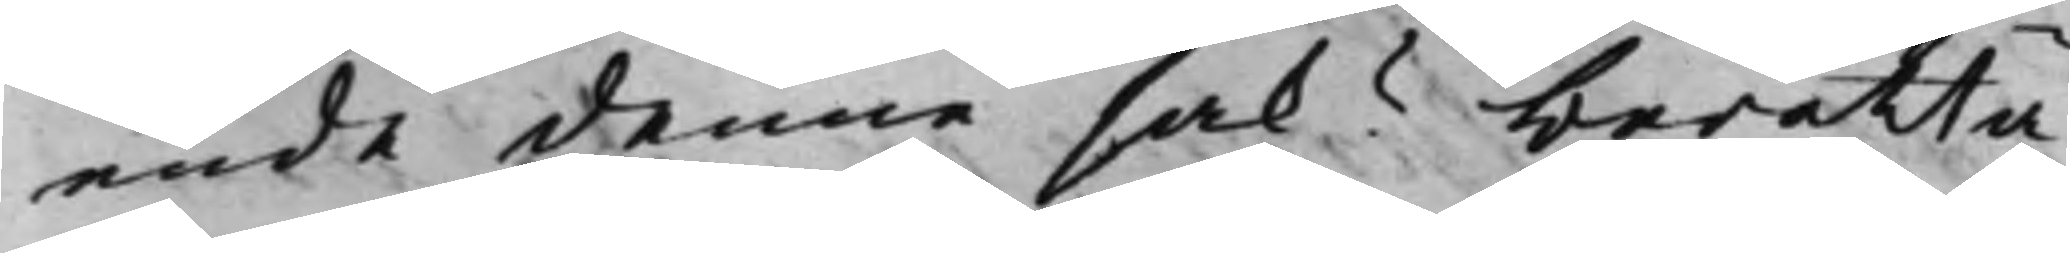ende denna sak? berätta¬
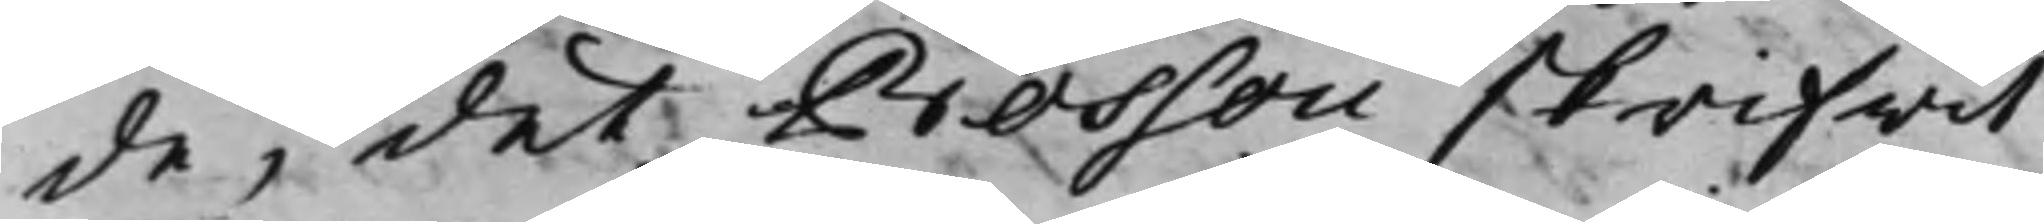de, det Bossou skrifwit
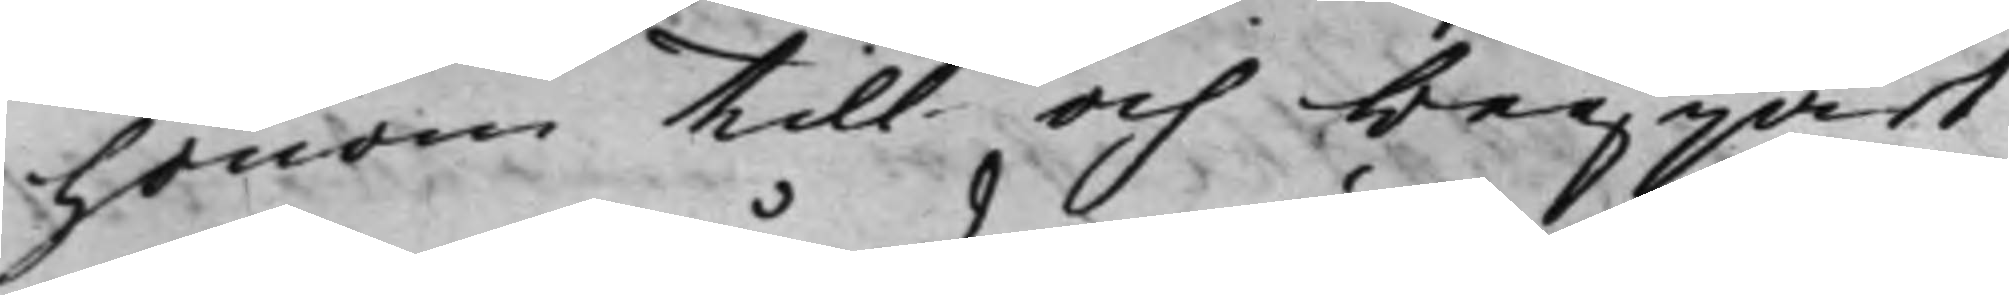honom till och begjärt
